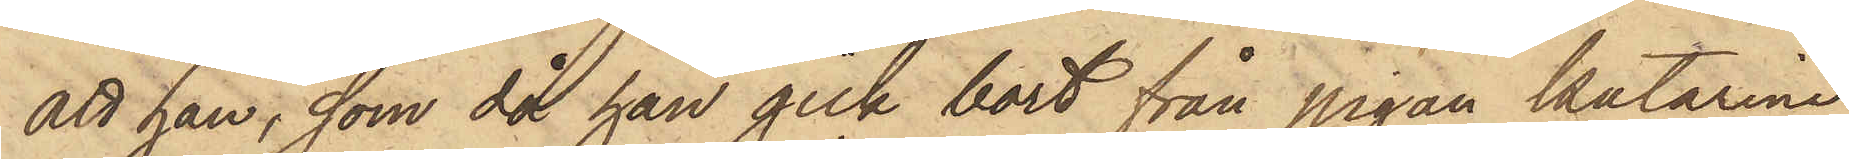att han, som då han gick bort från pigan Katarina
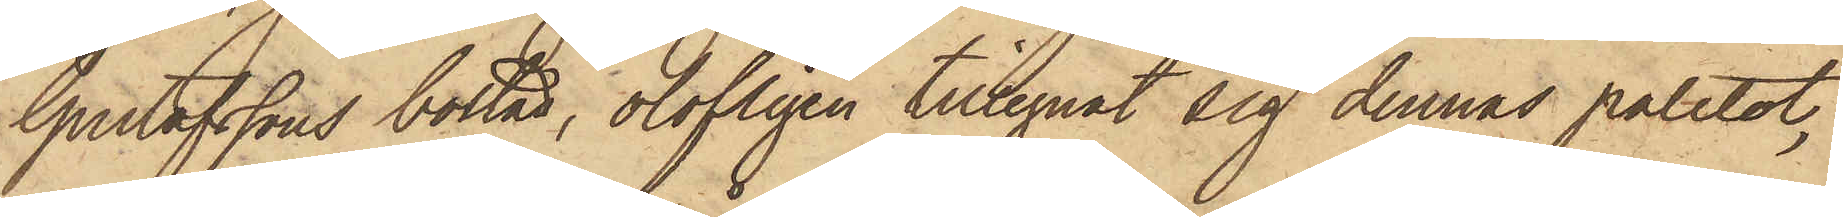Gustafssons bostad, olofligen tillegnat sig dennas paletot,
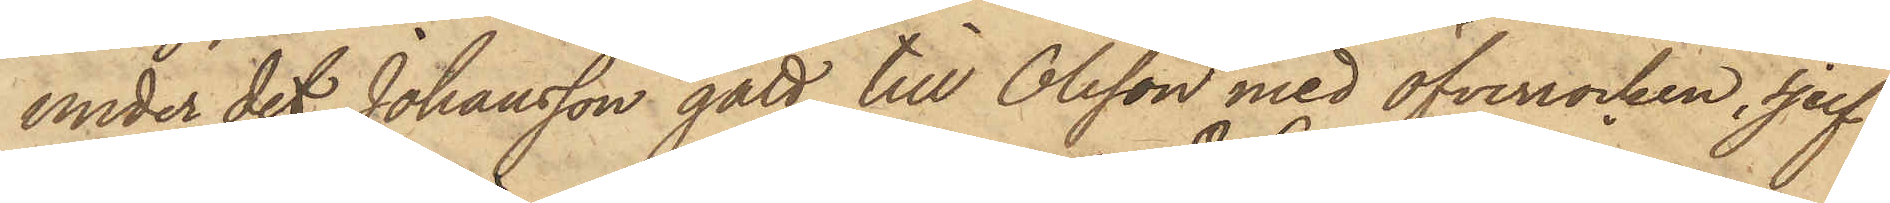under det Johansson gått till Olsson med öfverrocken, sjelf
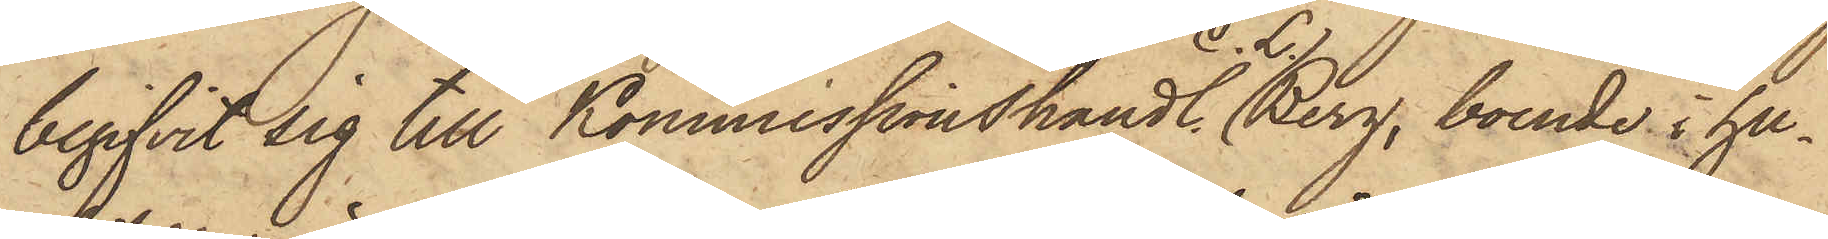begifvit sig till Kommissionshandl. C. L.Berg, boende i hu¬
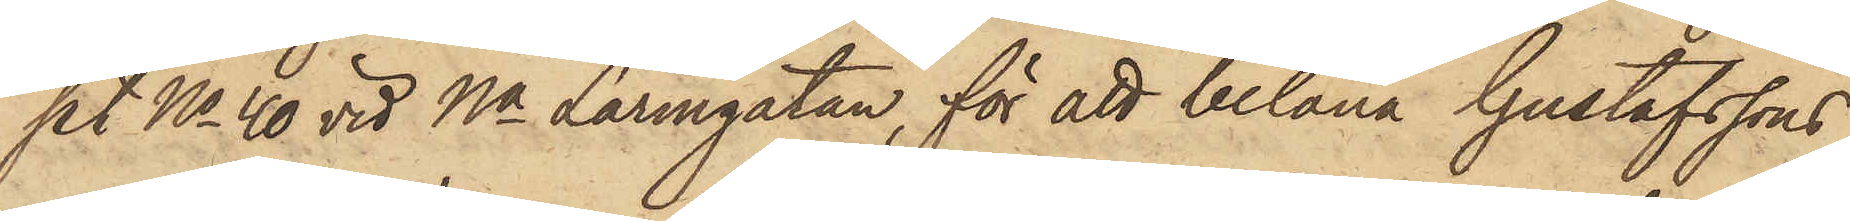set No 40 vid Na Larmgatan, för att belåna Gustafssons
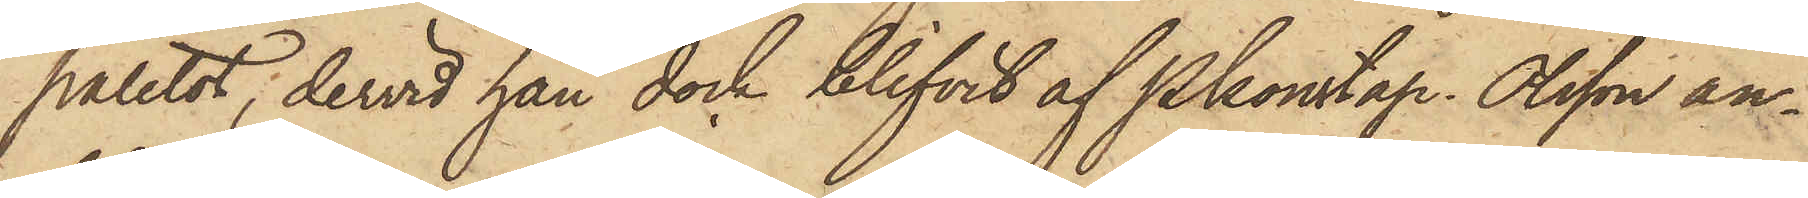paletot, dervid han dock blifvit af Pkonstap. Olsson an¬
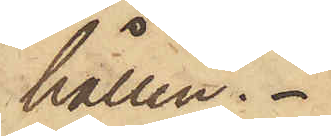hållen.
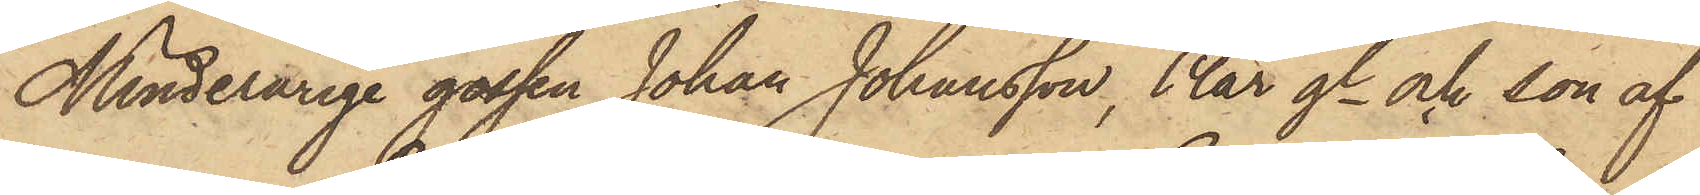Minderårige gossen Johan Johansson, 14 år gl och son af
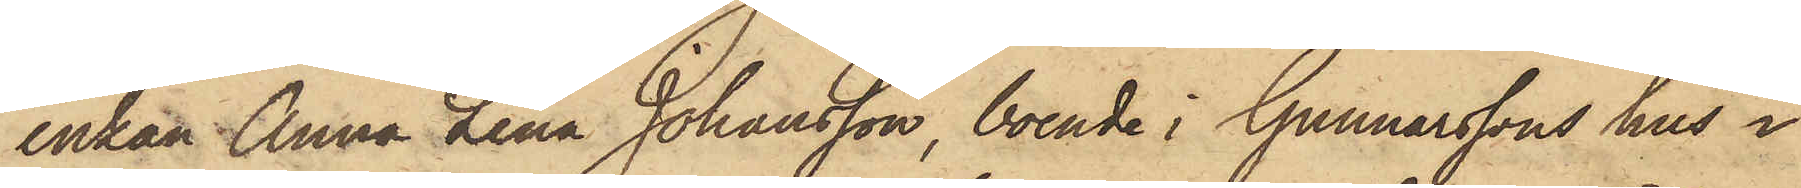enkan Anna Lena Johansson, boende i Gunnarssons hus i
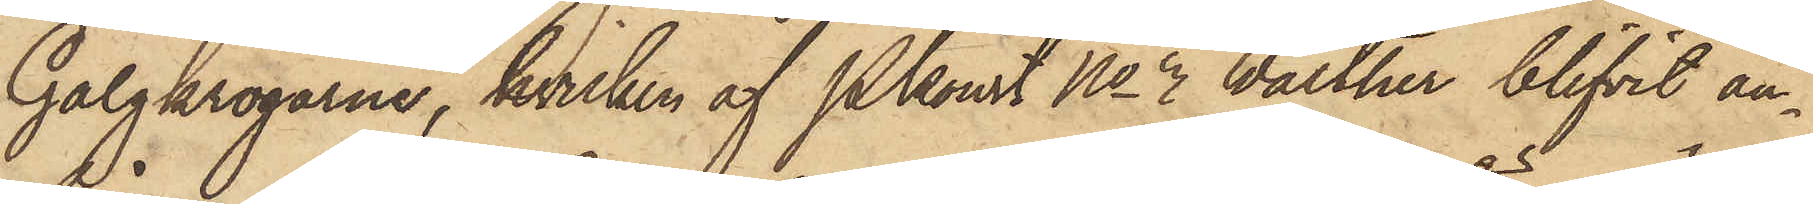Galgkrogarne, hvilken af Pkonst No 3 Walther blifvit an¬
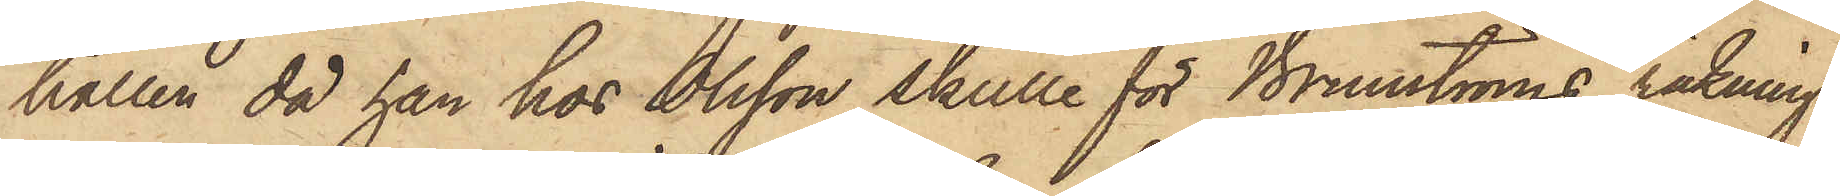hållen, då han hos Olsson skulle för Brunströms räkning
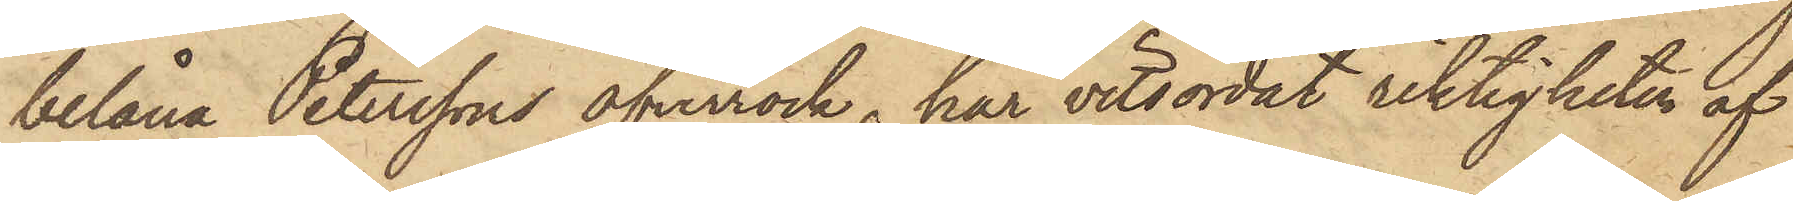belåna Peterssons öfverrock, har vitsordat riktigheten af
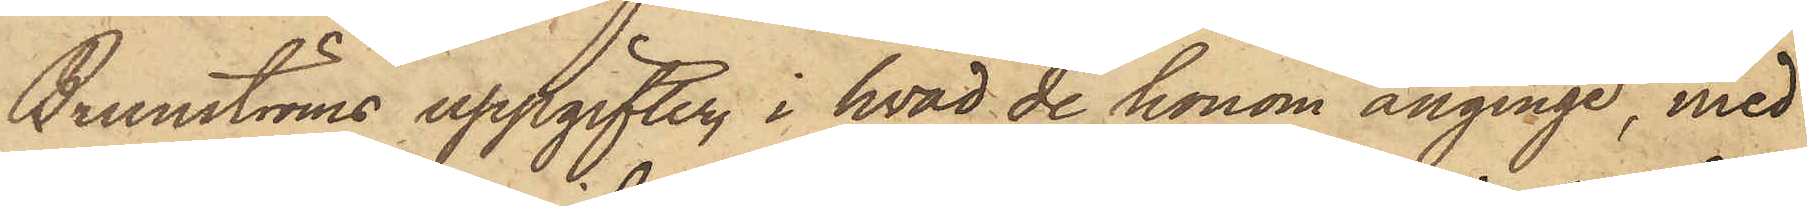Brunströms uppgifter, i hvad de honom anginge, med
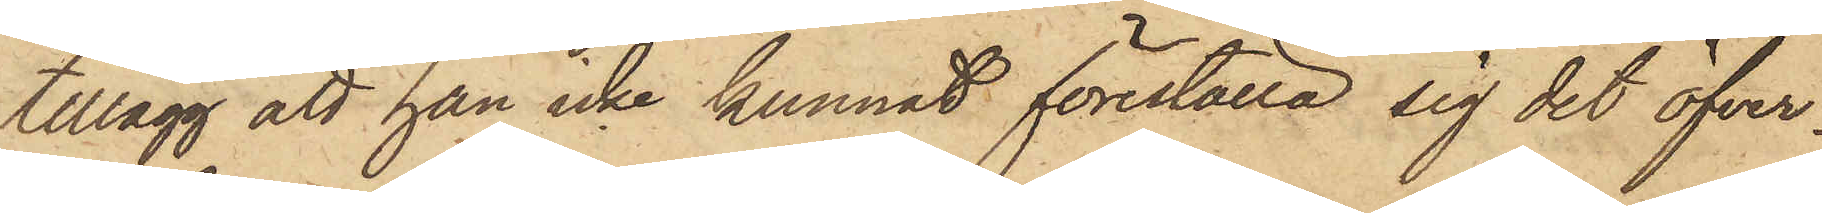tillägg att han icke kunnat föreställa sig det öfver¬
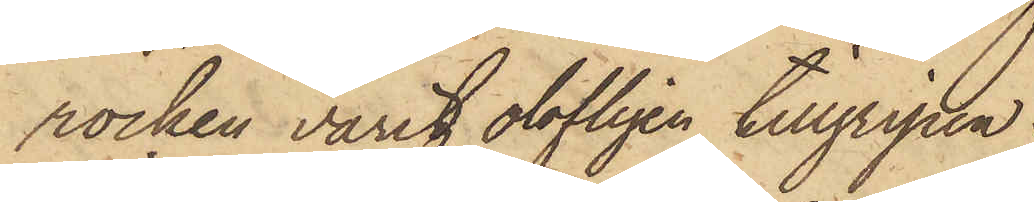rocken varit olofligen tillgripen.
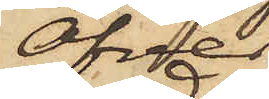Öfver
